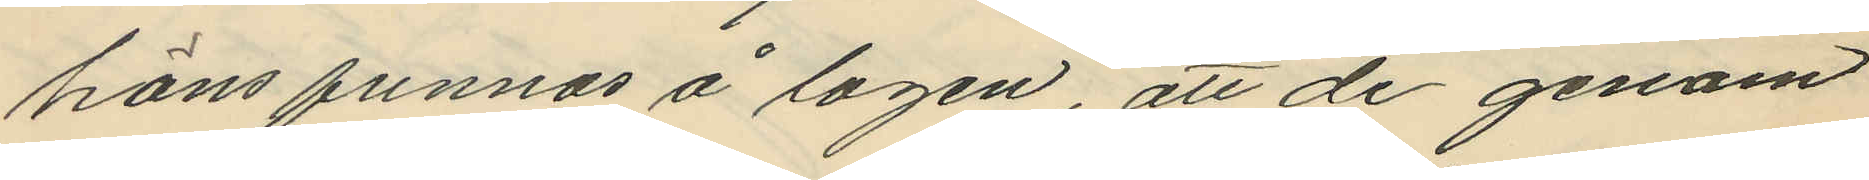höns funnos å logen, att de genom
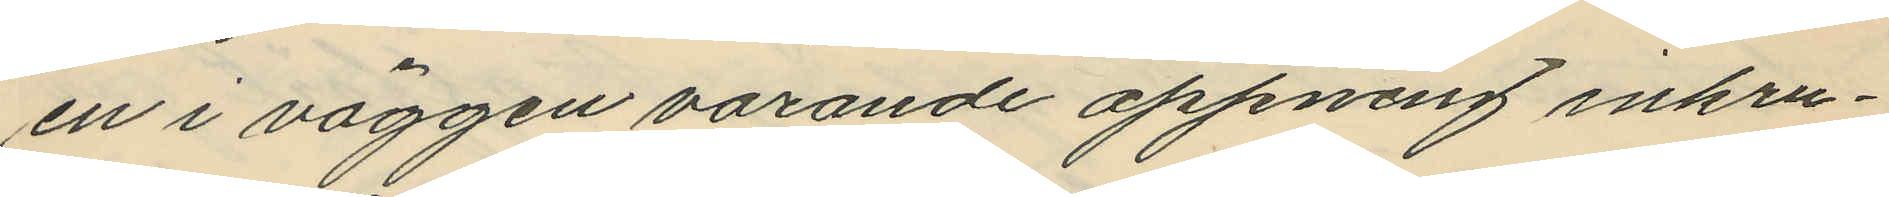en i väggen varande öppning inkru¬
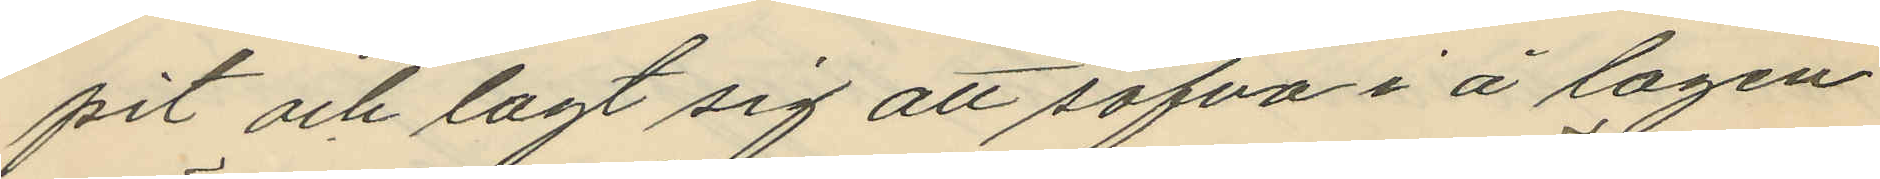pit och lagt sig att sofva i å logen
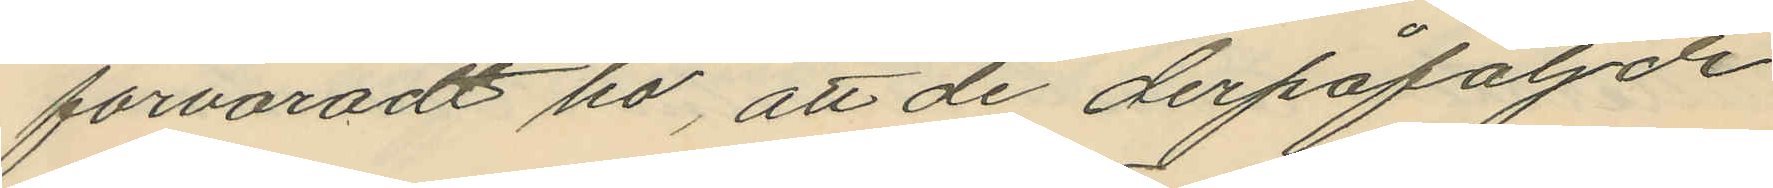förvaradt hö, att de derpåföljde
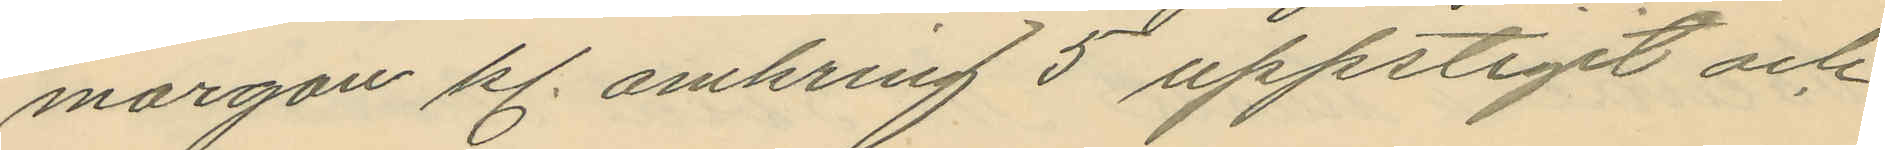morgon kl. omkring 3 uppstigit och
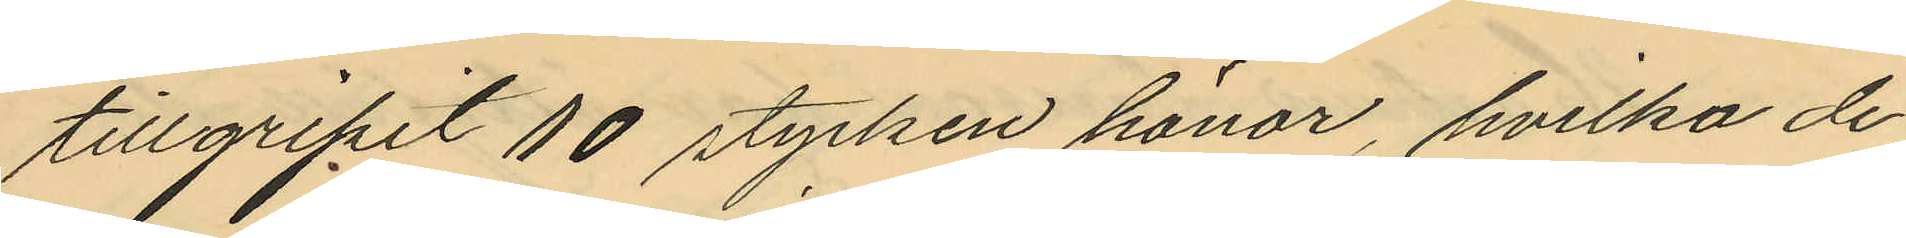tillgripit 10 stycken hönor, hvilka de
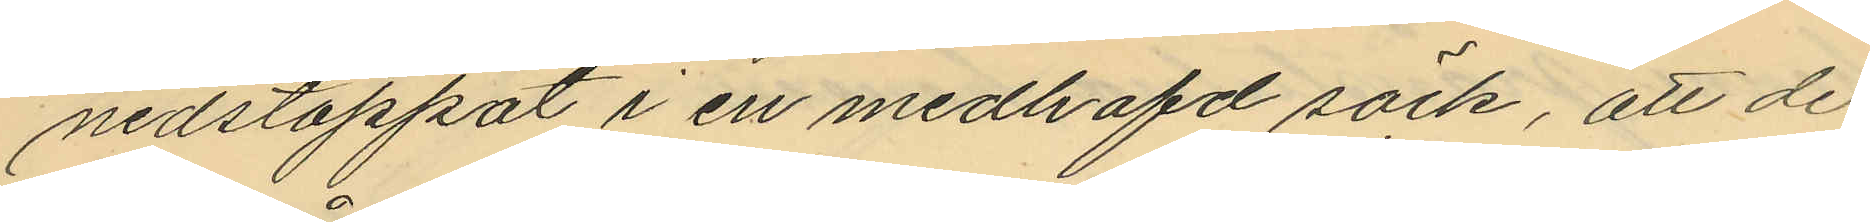nedstoppat i en medhafd säck, att de
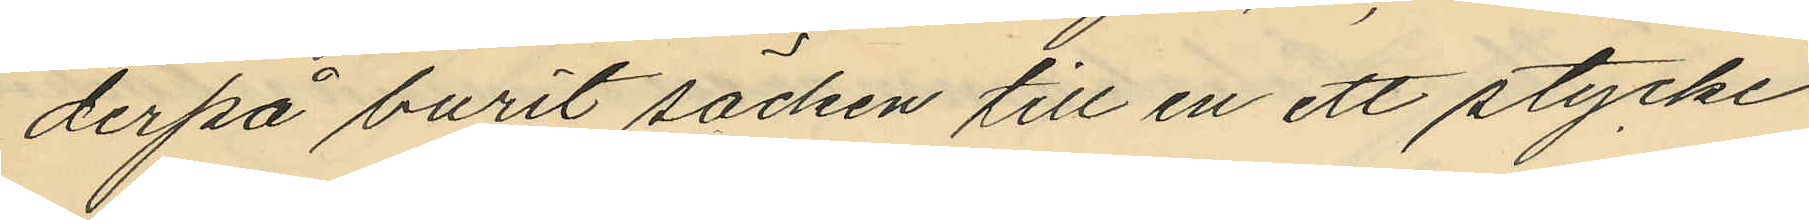derpå burit säcken till en ett stycke
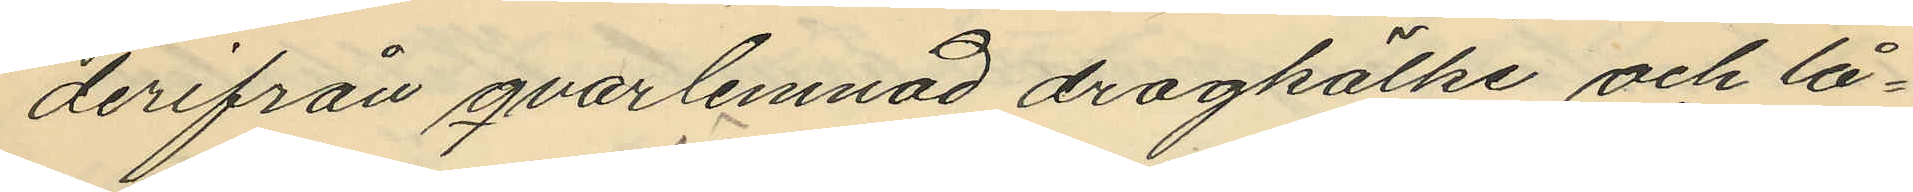derifrån qvarlemnad dragkälke och lå¬
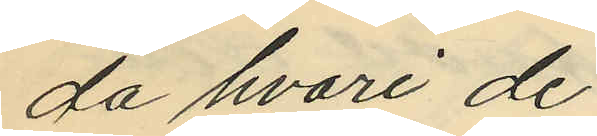da hvari de
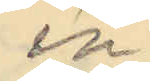in¬
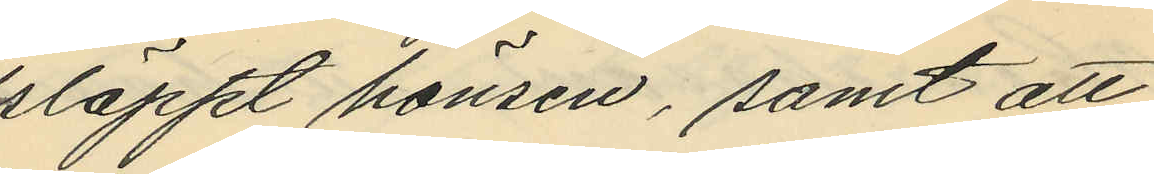släppt hönsen, samt att
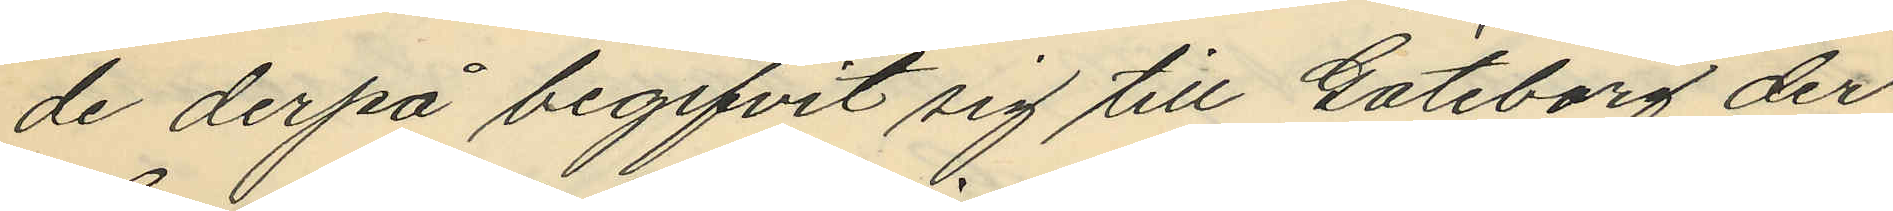de derpå begifvit sig till Göteborg der
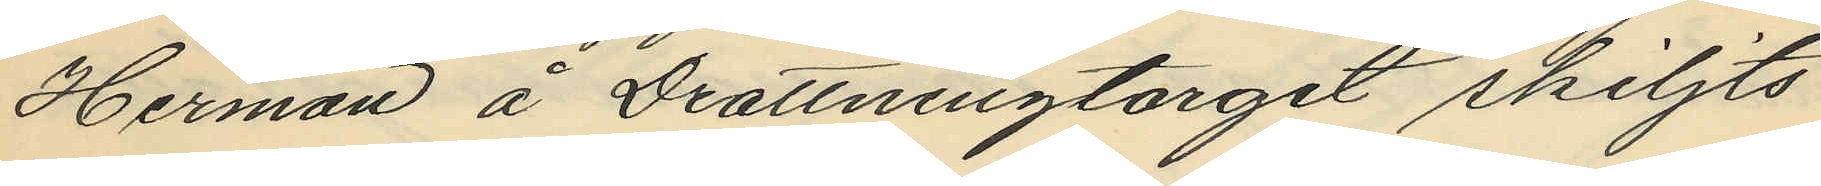Herman å Drottningtorget skiljts
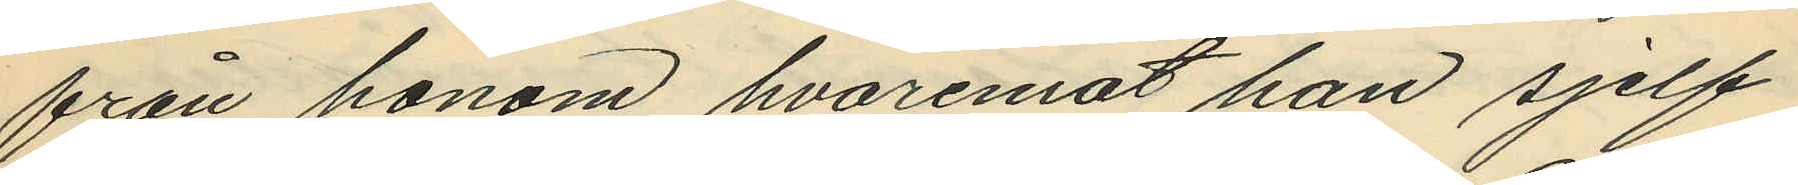från honom hvaremot han sjelf
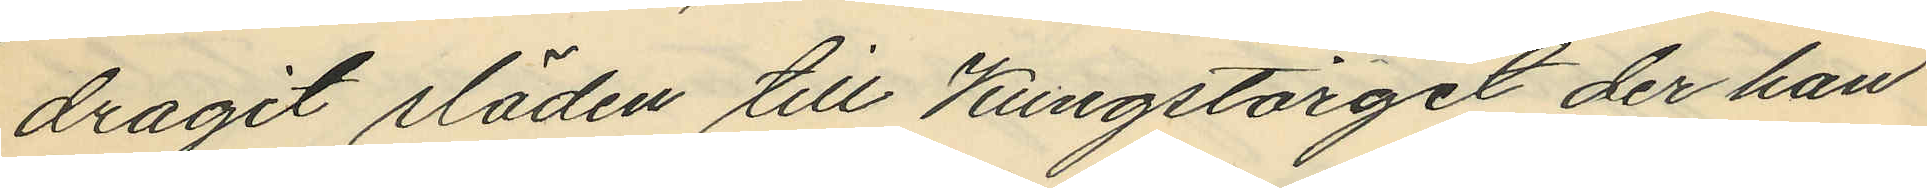dragit släden till Kungstorget der han
